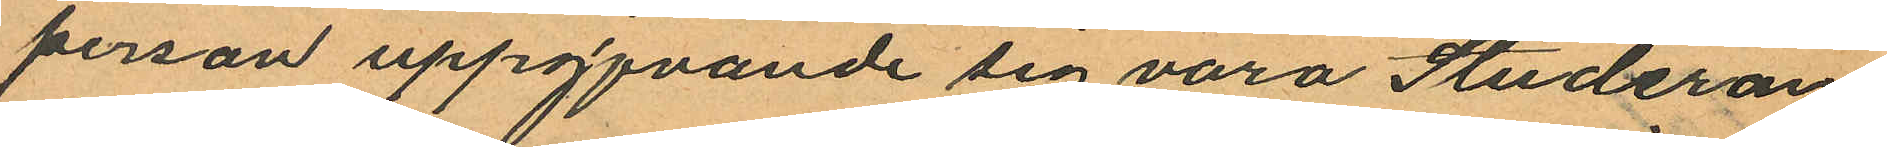person uppgfvande sig vara Studeran¬
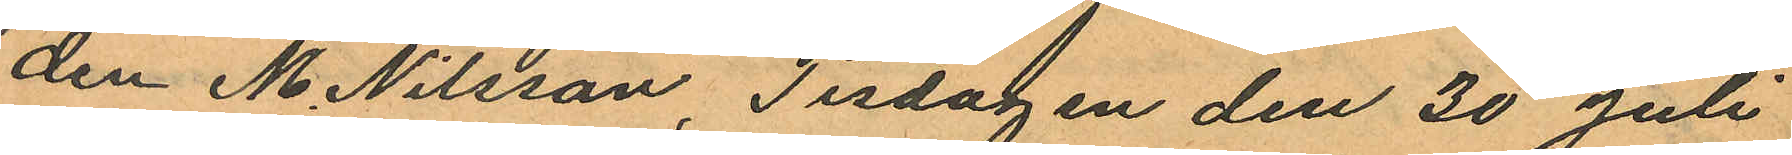den M. Nilsson, Tisdagen den 30 Juli
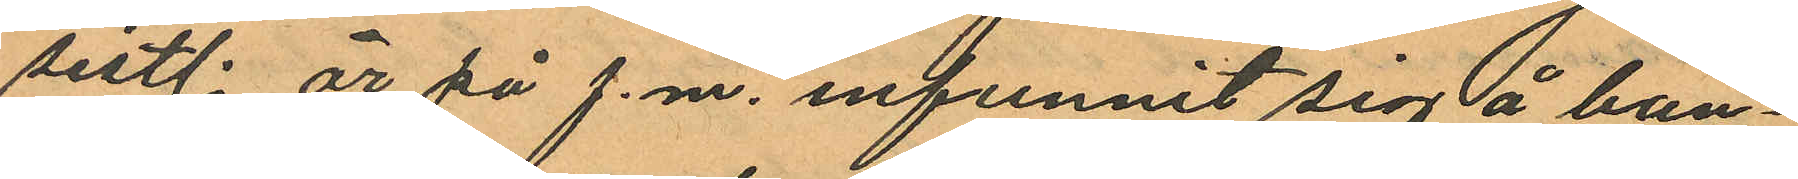sistl. år på f.m. infunnit sig å ban¬
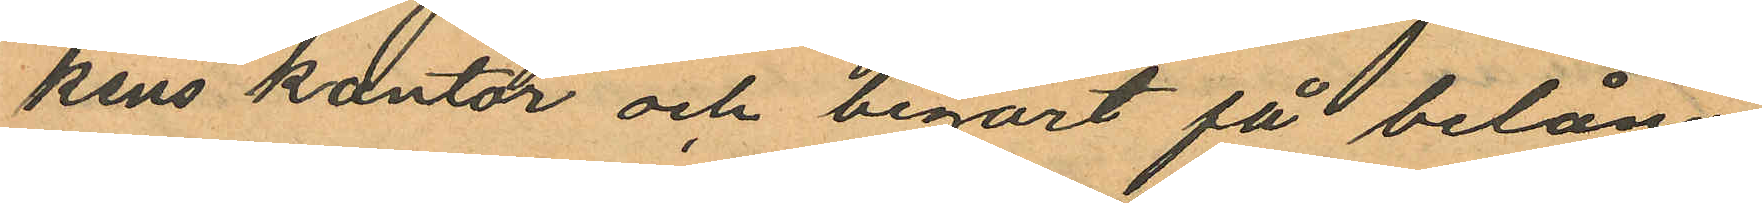kens kontor och begärt få belåna
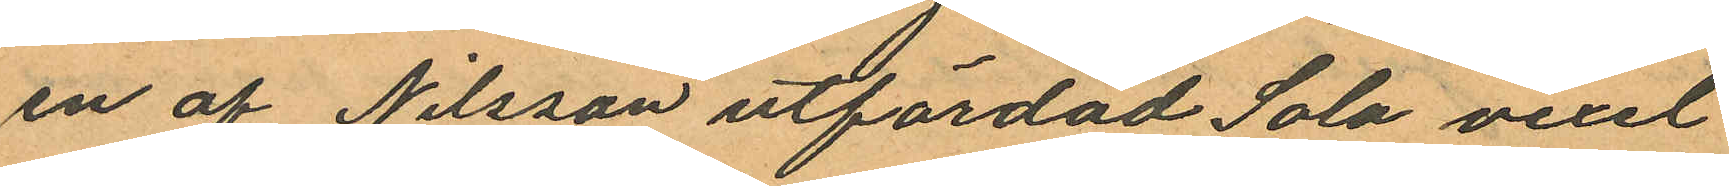en af Nilsson utfärdad Sola vexel
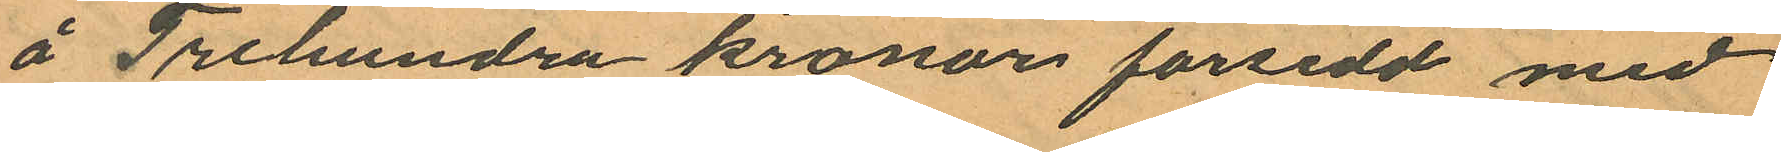å Trehundra kronor försedd med
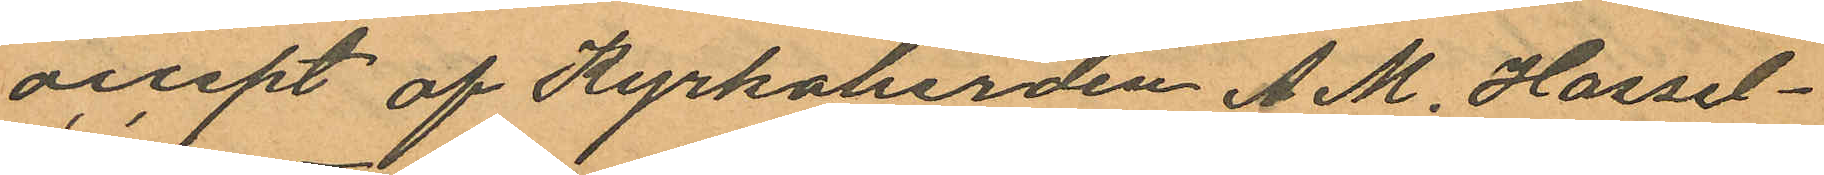accept af Kyrkoberden A. M. Hassel¬
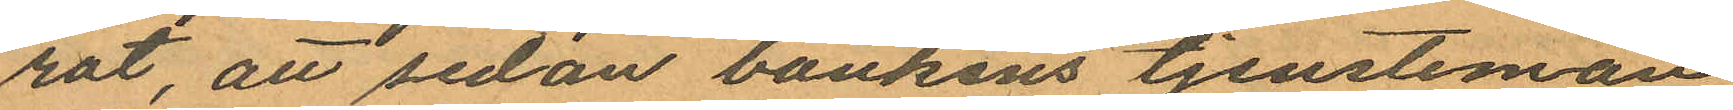rot, att sedan bankens tjenstemän
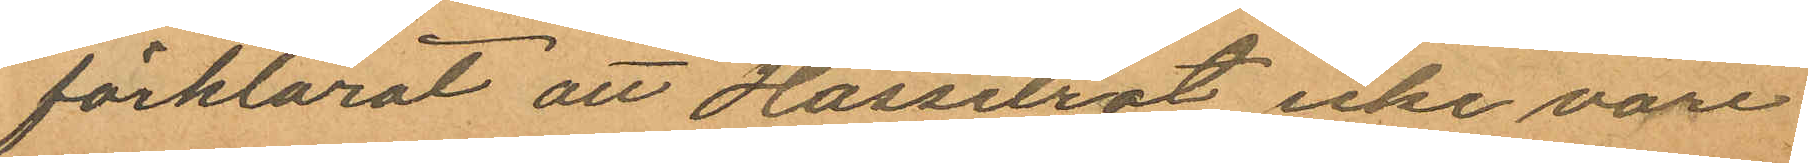förklarat att Hasselrot icke vore
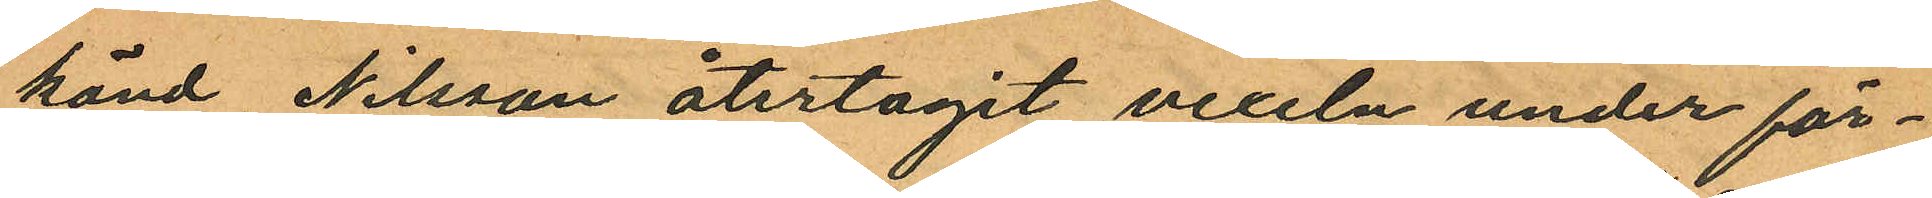känd, Nilsson återtagit vexeln under för¬
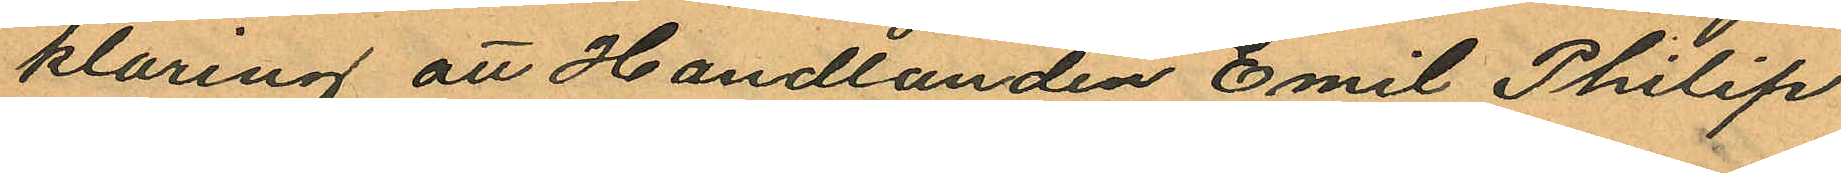klaring att Handlanden Emil Philip
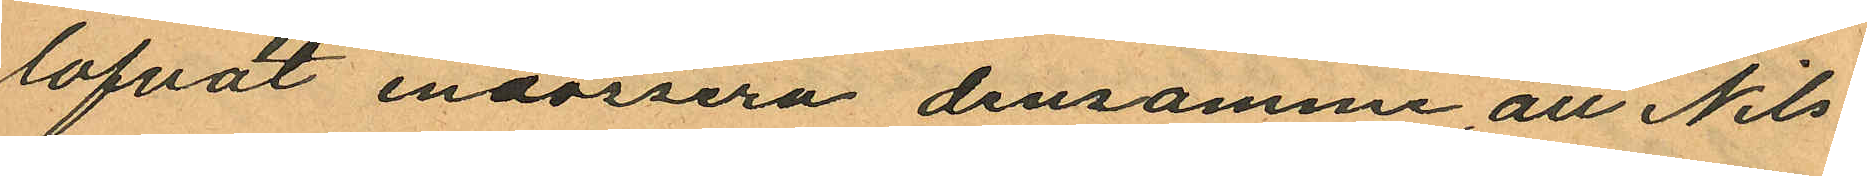lofvat endossera densamme, att Nils¬
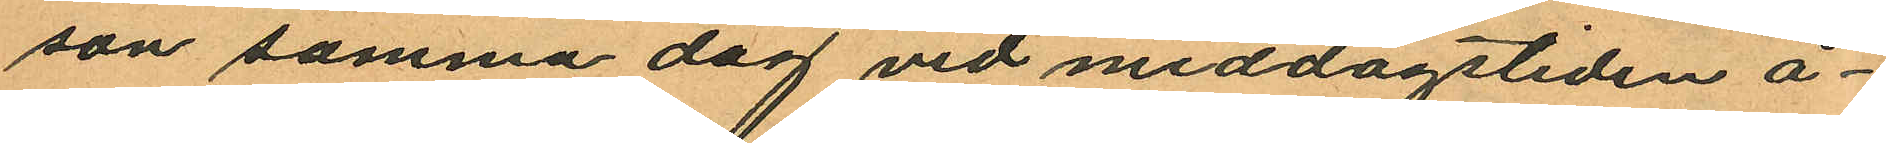son samma dag vid middagstiden å¬
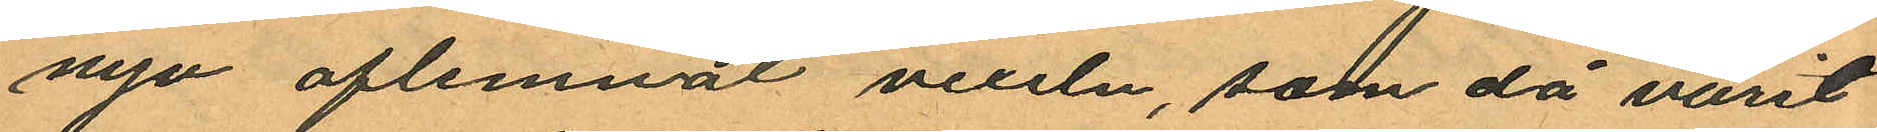nyo aflemnat vexeln, som då varit
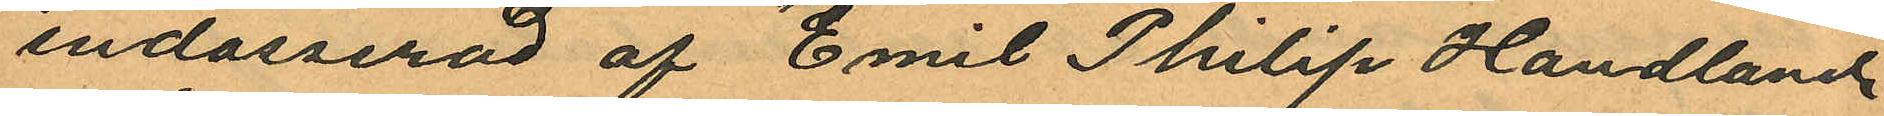endosserad af "Emil Philip Handlande
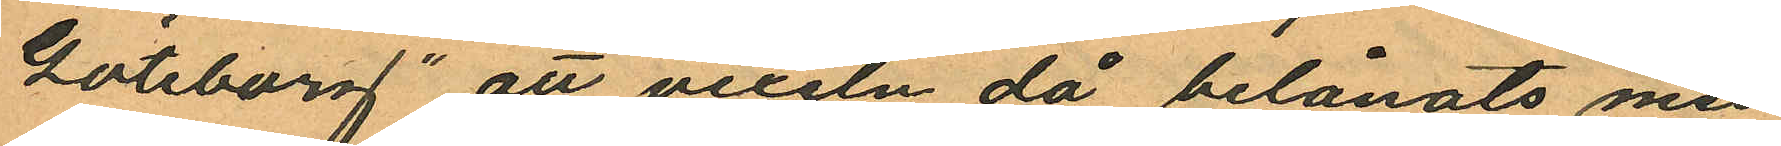Göteborg" att vexeln då belånats med
